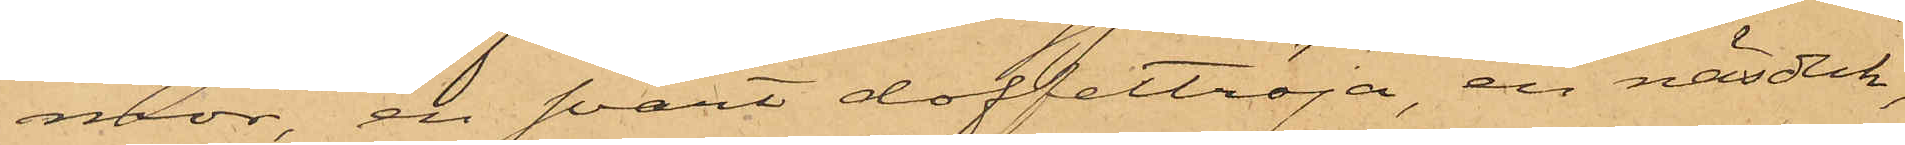mor, en svart doffeltröja, en näsduk,
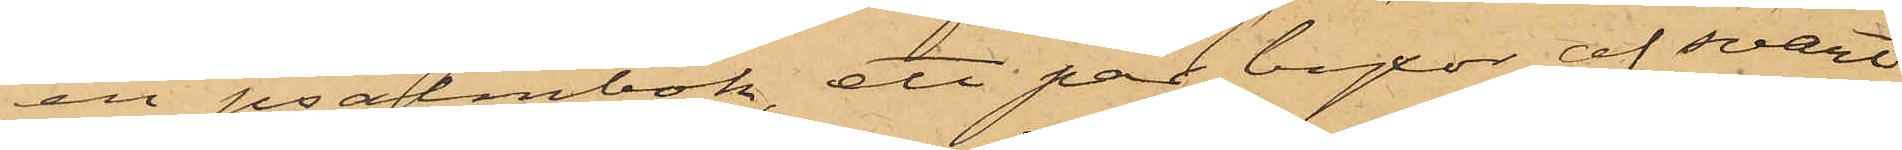en psalmbok, ett par byxor af svart
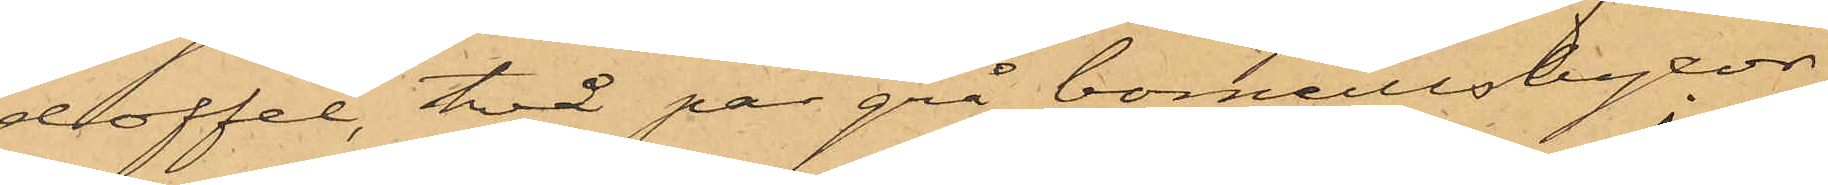doffel, två par grå bomullsbyxor,
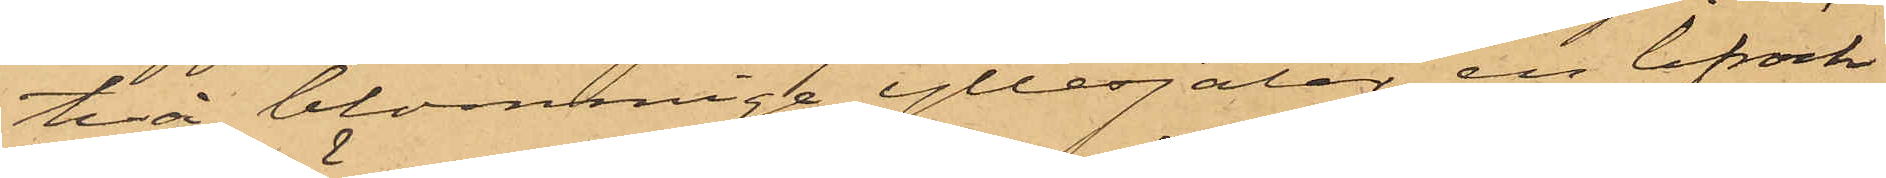två blommiga yllesjalar, en lifrock
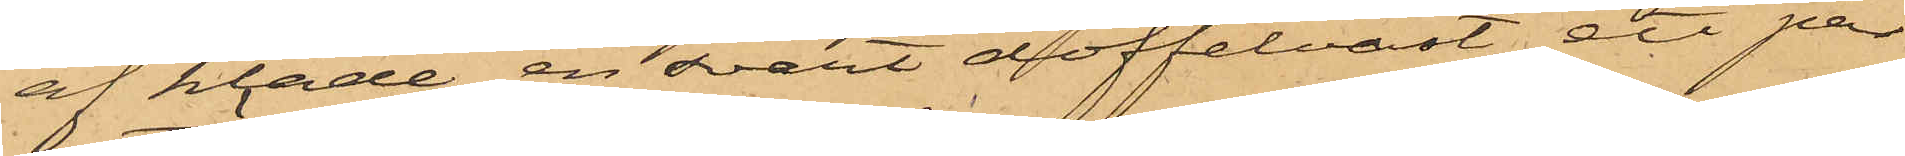af kläde, en svart doffelväst, ett par
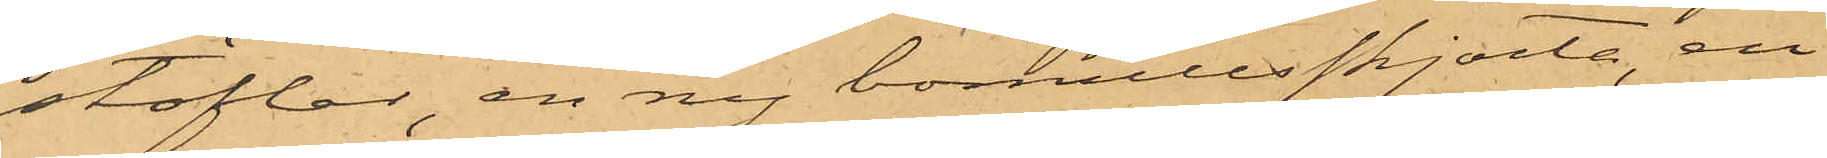stöflar, en ny bomullsskjorta, en
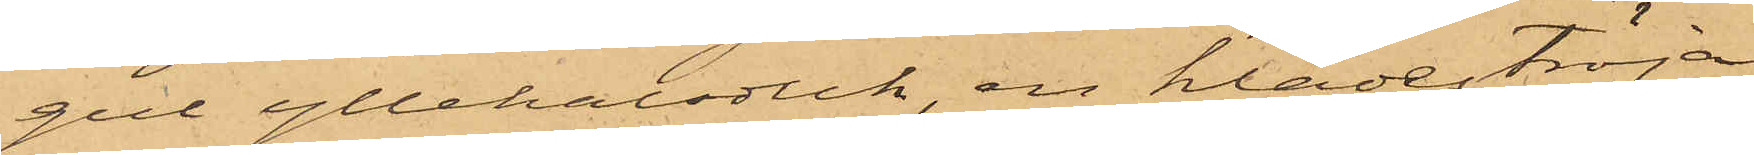gul yllehalsduk, en klädeströja,
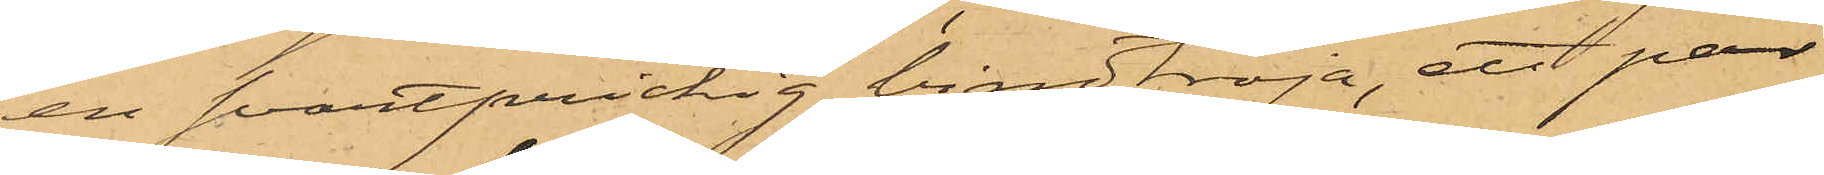en svartprickig bindtröja, ett par
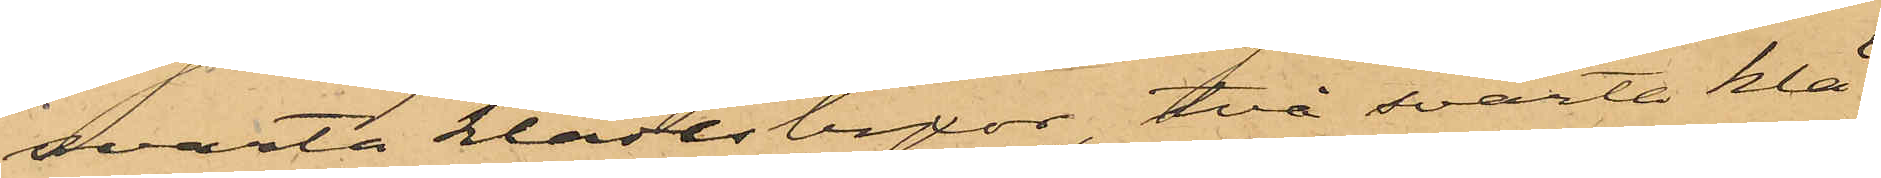svarta klädesbyxor, två svarta klä¬
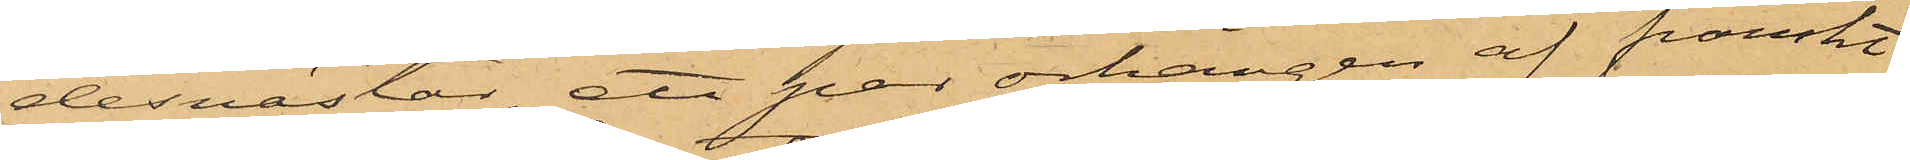desvästar, ett par örhängen af franskt
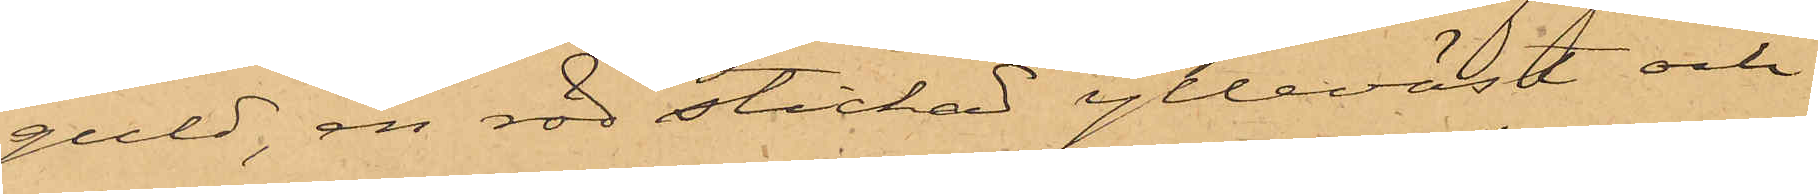guld, en röd stickad ylleväst och
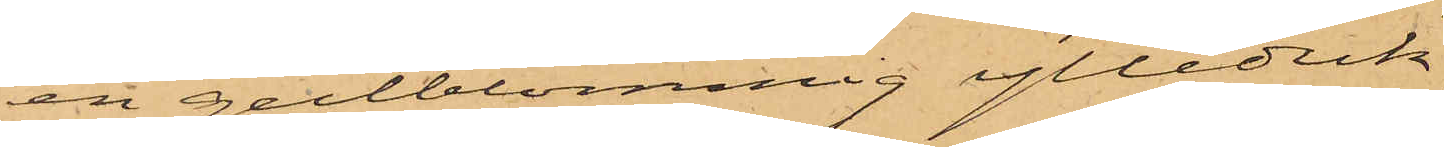en gulblommig ylleduk;
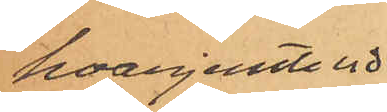hvarjemte vid
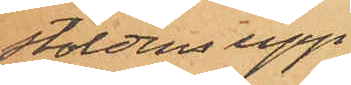stöldens upp¬
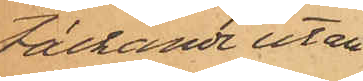täckande utan¬
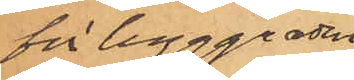för byggnaden
